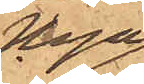Haga
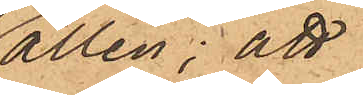allén; att
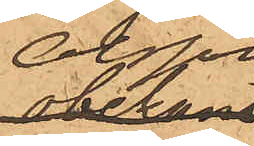Olsson
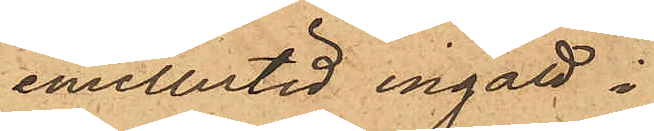emellertid ingått i
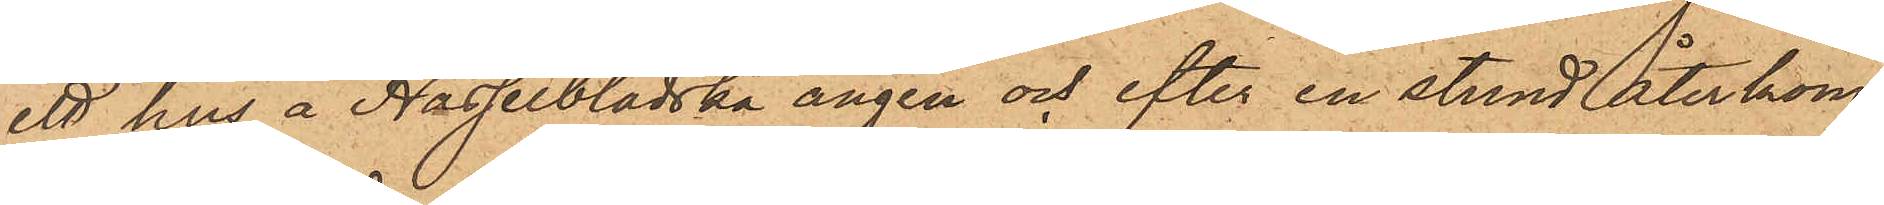ett hus å Hasselbladska ängen och efter en stund återkom¬
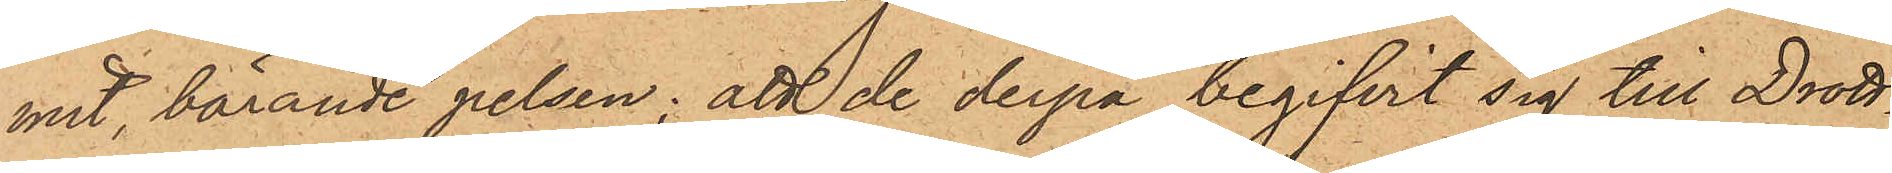mit, bärande pelsen; att de derpå begifvit sig till Drott¬
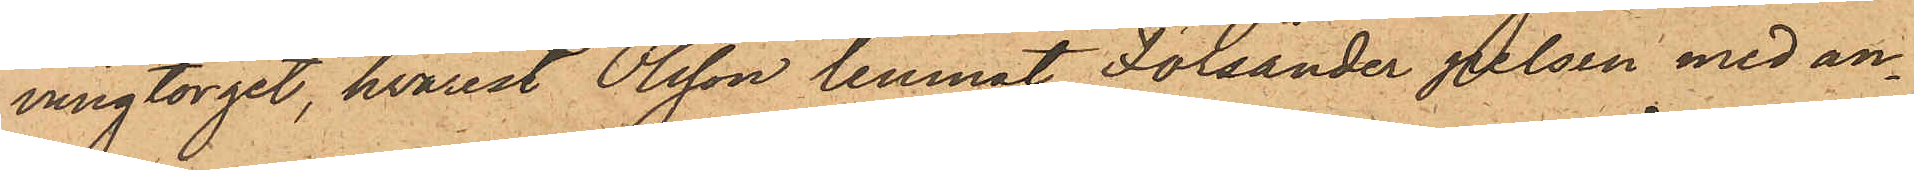ningtorget, hvarest Olsson lemnat Forsander pelsen med an¬
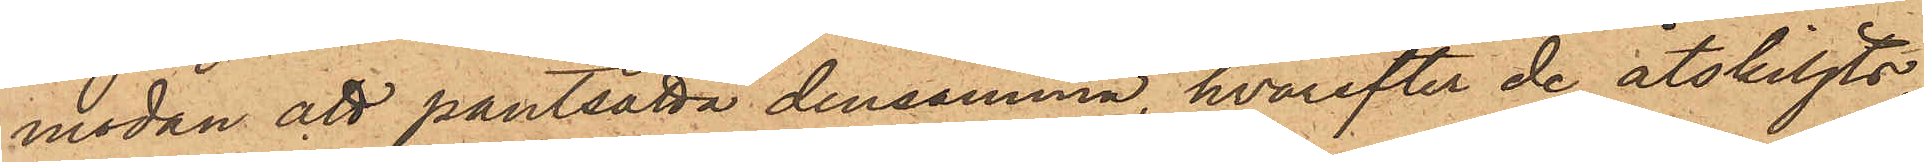modan att pantsätta densamma, hvarefter de åtskiljts
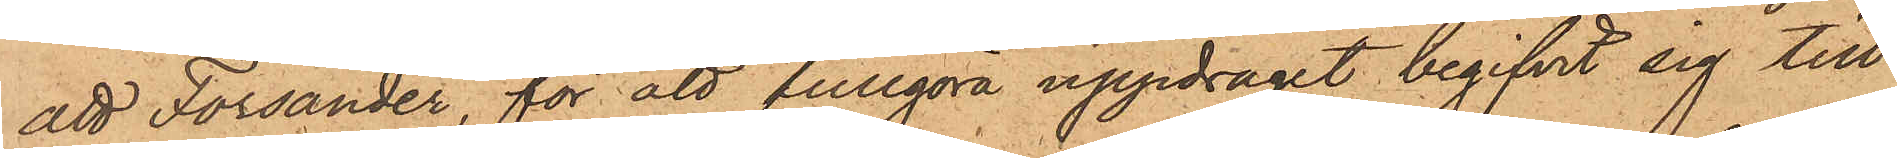att Forsander, för att fullgöra uppdraget begifvit sig till
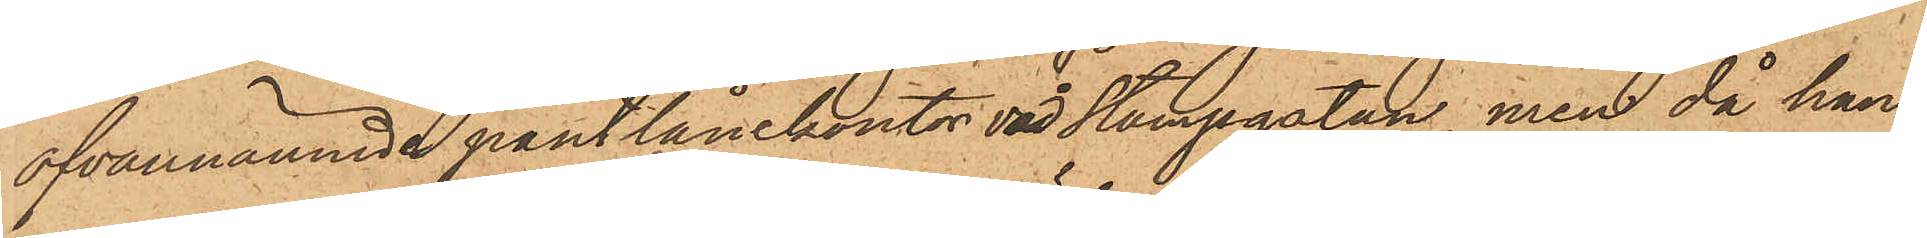ofvannämnde pantlånekontor vid Stampgatan, men då han
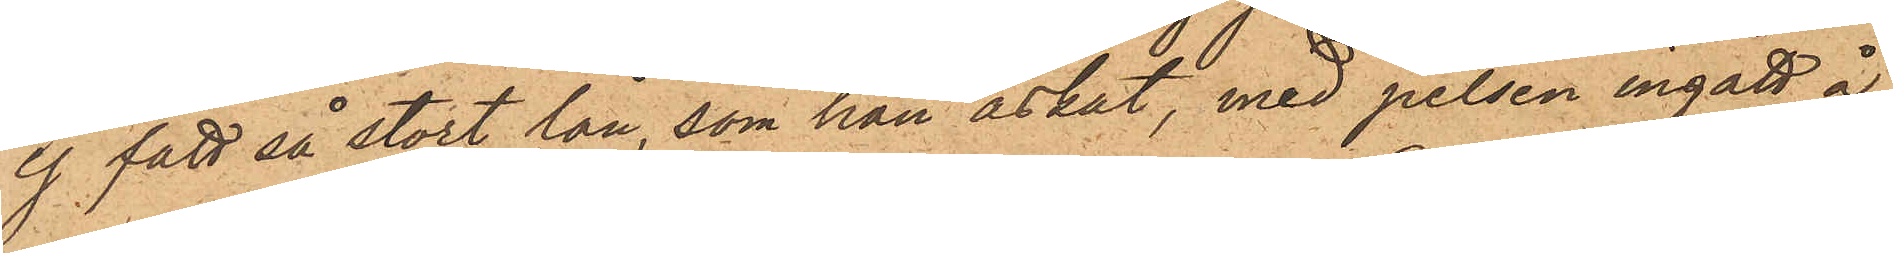ej fått så stort lån, som han äskat, med pelsen ingått å
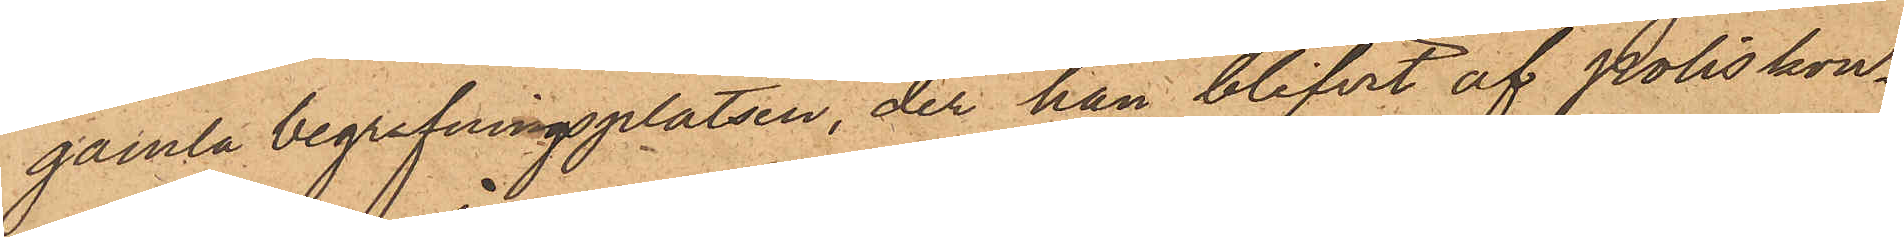gamla begrafningsplatsen, der han blifvit af Poliskon¬
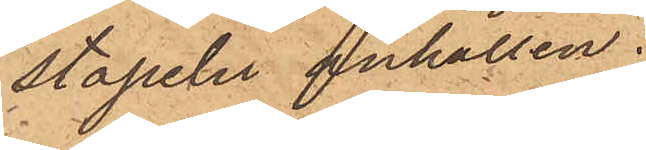stapeln anhållen.
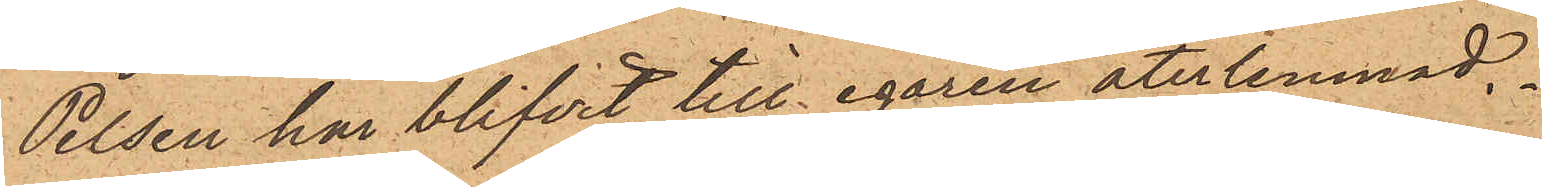Pelsen har blifvit till egaren återlemnad.
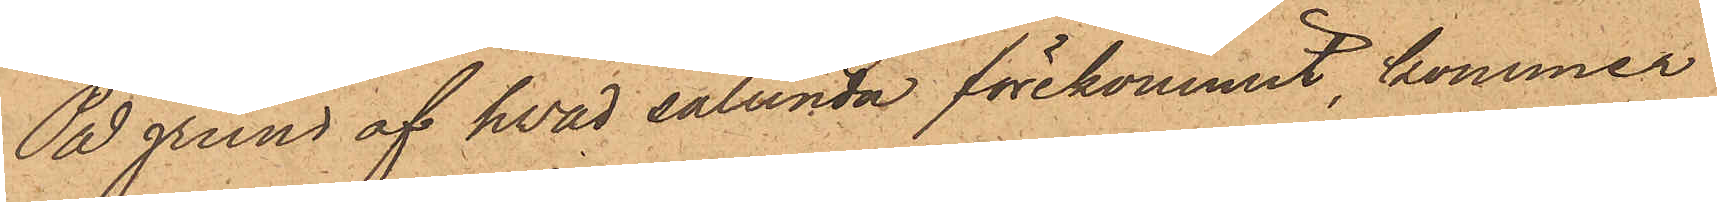På grund af hvad sålunda förekommit, kommer
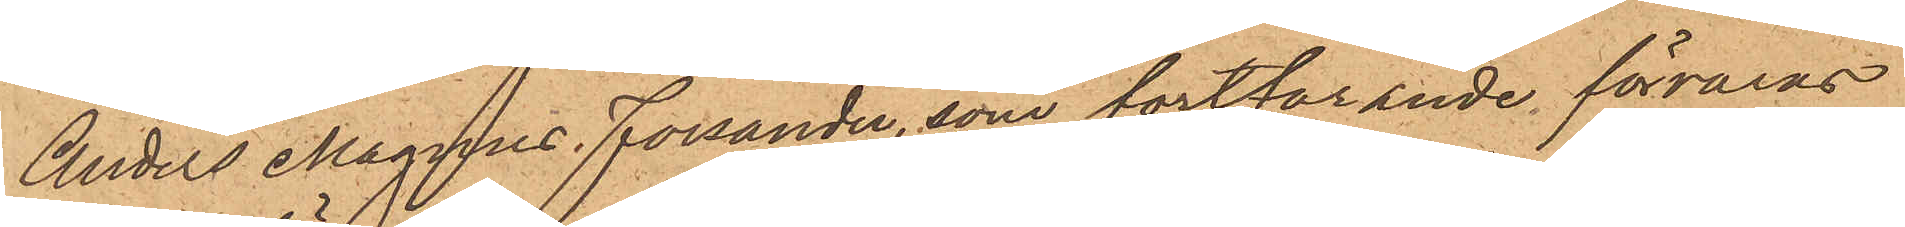Anders Magnus Forsander, som fortfarande förvaras
